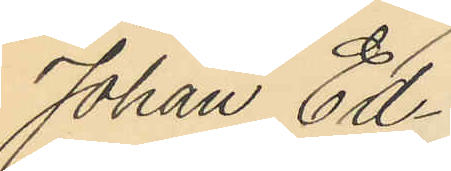Johan Ed
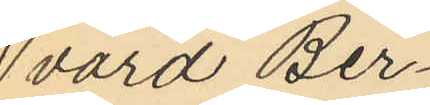vard Ber¬
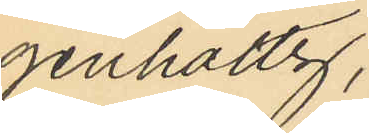genholtz;
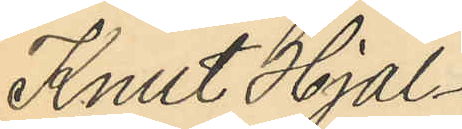Knut Hjal¬
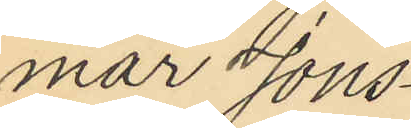mar Jons¬
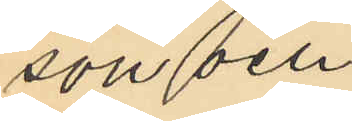son och
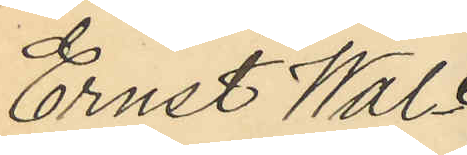Ernst Wal¬
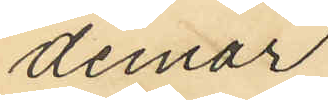demar
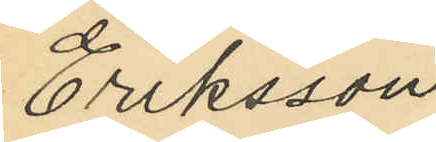Eriksson
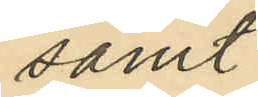samt
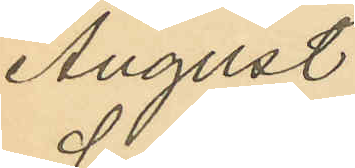August
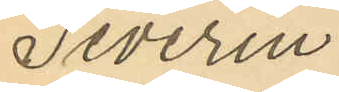Severin
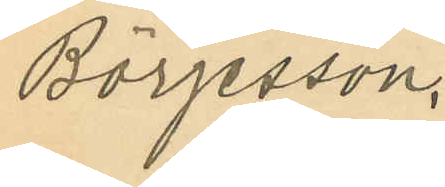Börjesson.
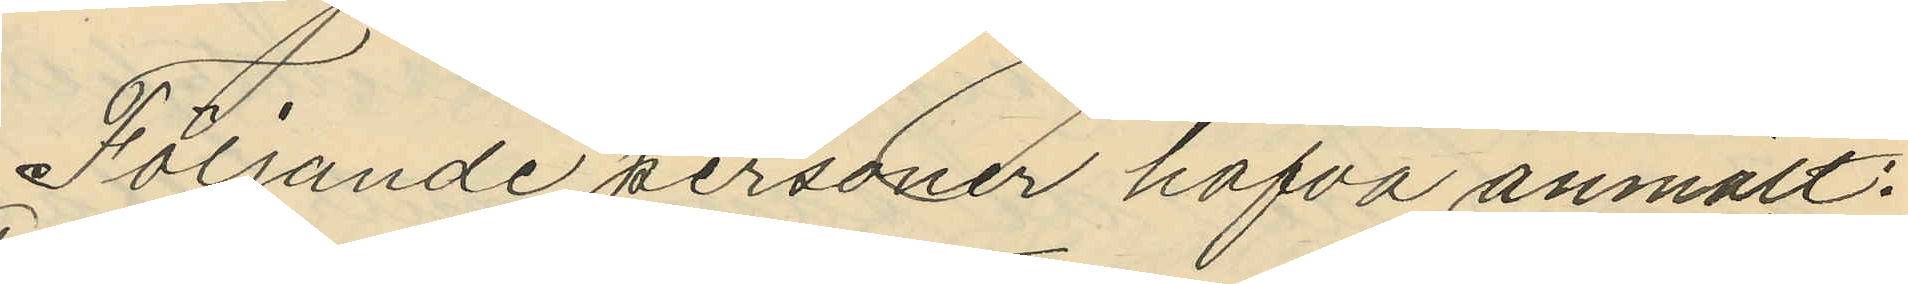Följande personer hafva anmält:
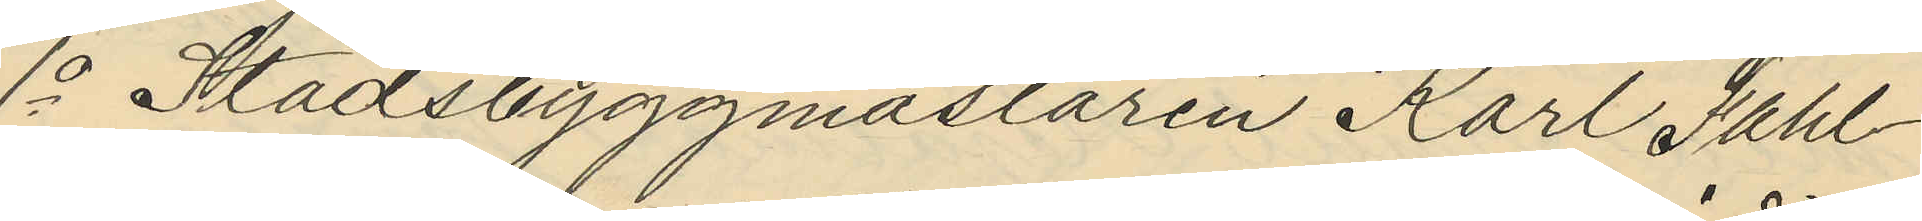1o Stadsbyggmästaren Karl Sahl¬
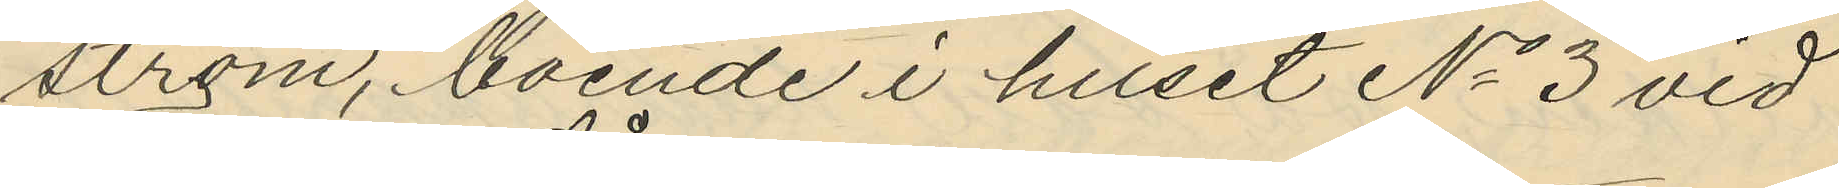ström, boende i huset No 3 vid
